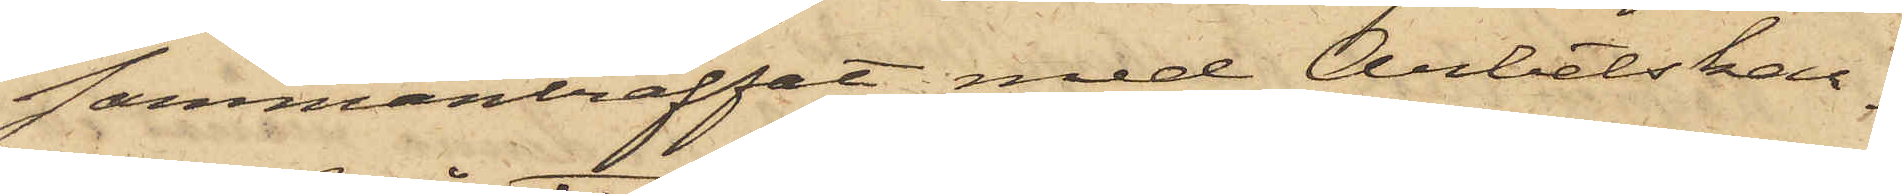sammanträffat med Arbetskar¬
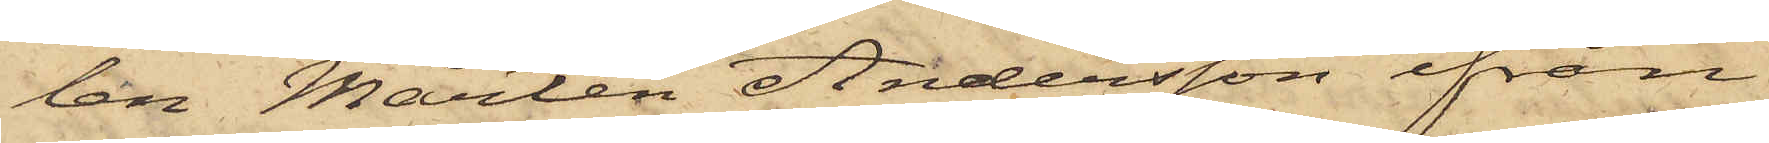len Mårten Andersson ifrån
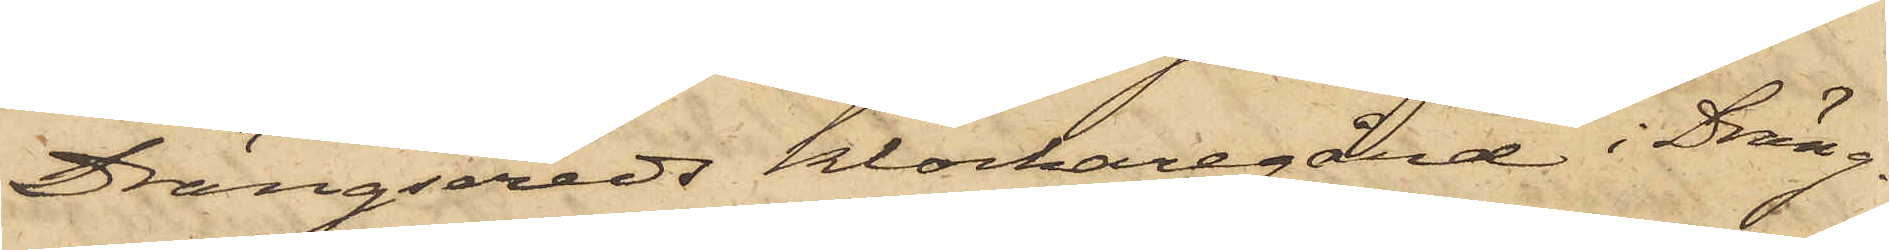Drängsereds Klockaregård i Drän¬
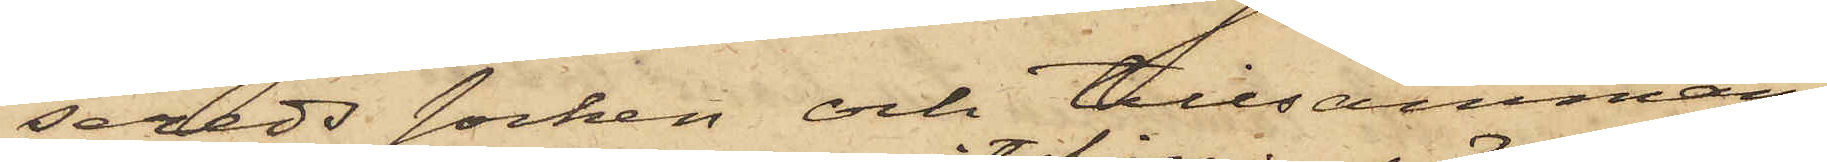sereds Socken och tillsammans
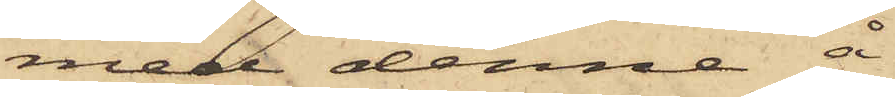med denne å
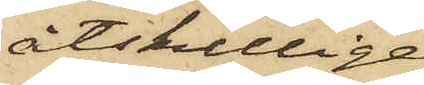åtskillige
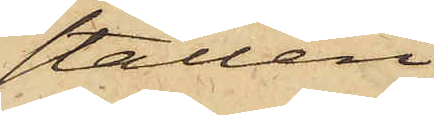ställen
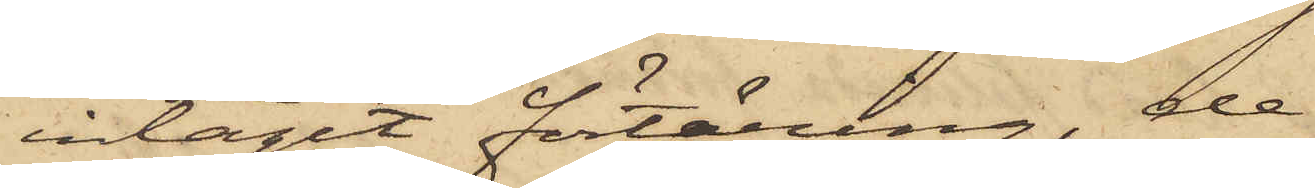intagit förtäring, de
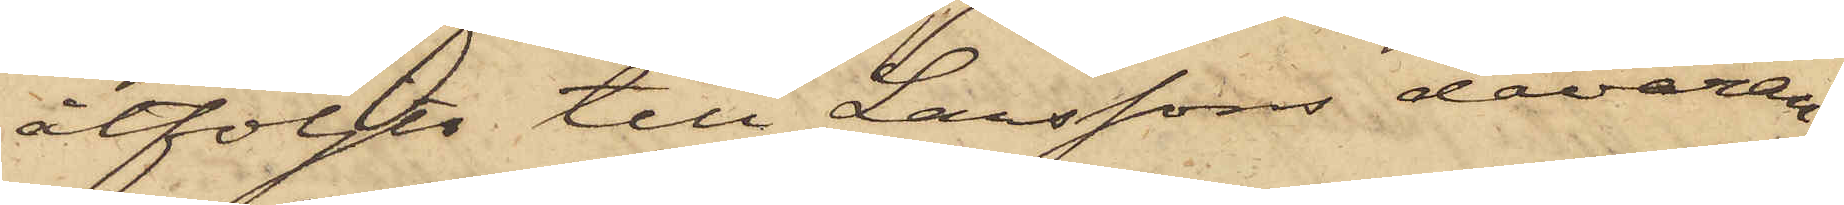åtföljts till Larssons dåvaran¬
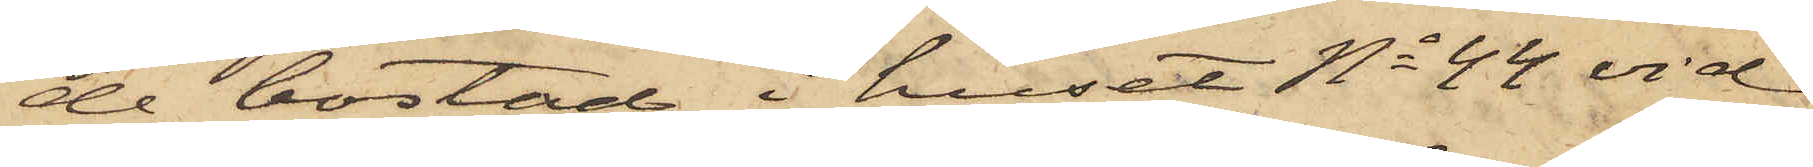de bostad i huset No 44 vid
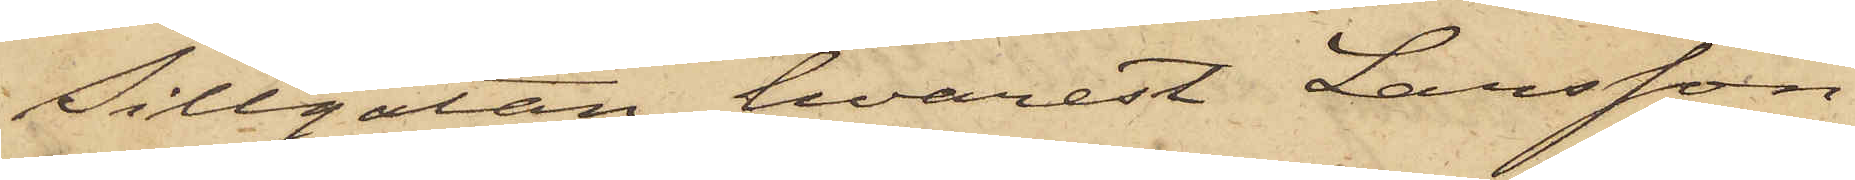Sillgatan, hvarest Larsson
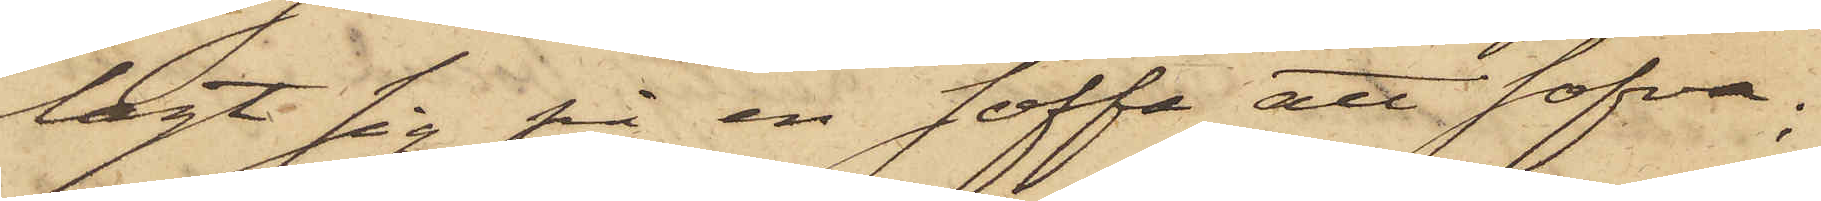lagt sig på en soffa att sofva;
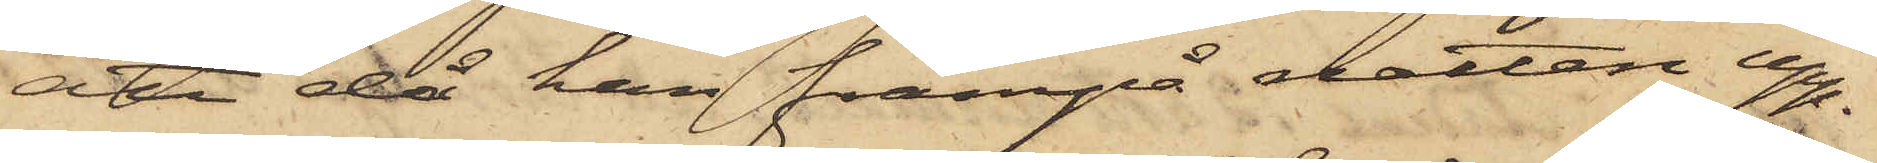att då han frampå natten upp¬
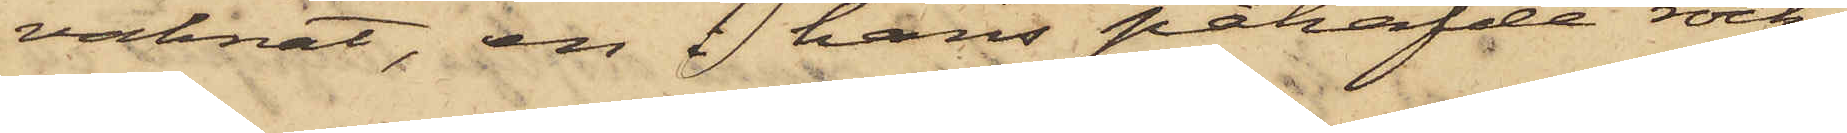vaknat, en i hans påhafde rock
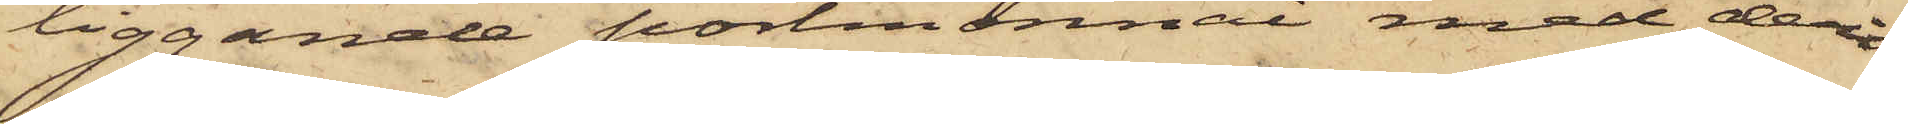liggande portmonnai med deri
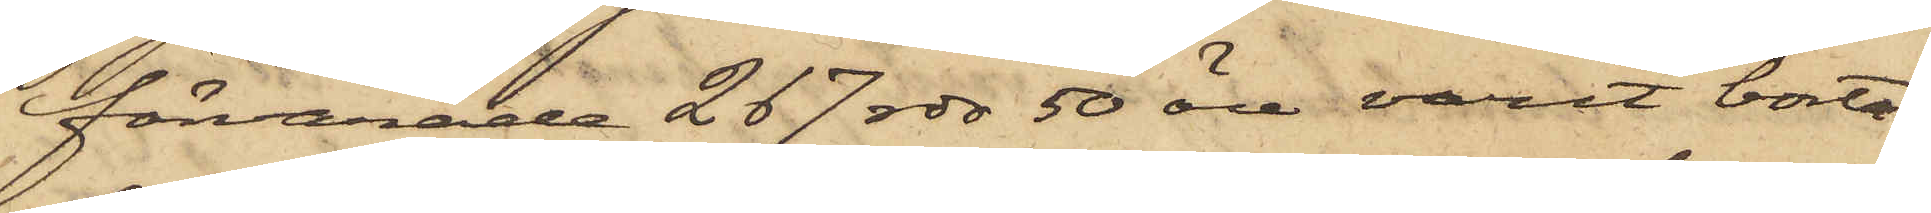förvarade 267 rdr 50 öre varit borta,
